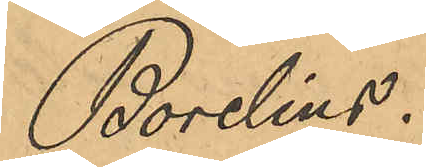Borelius."
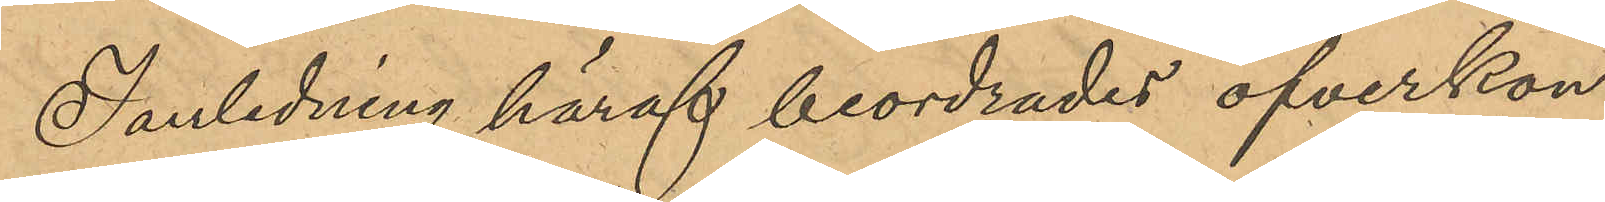I anledning häraf beordrades öfverkon¬
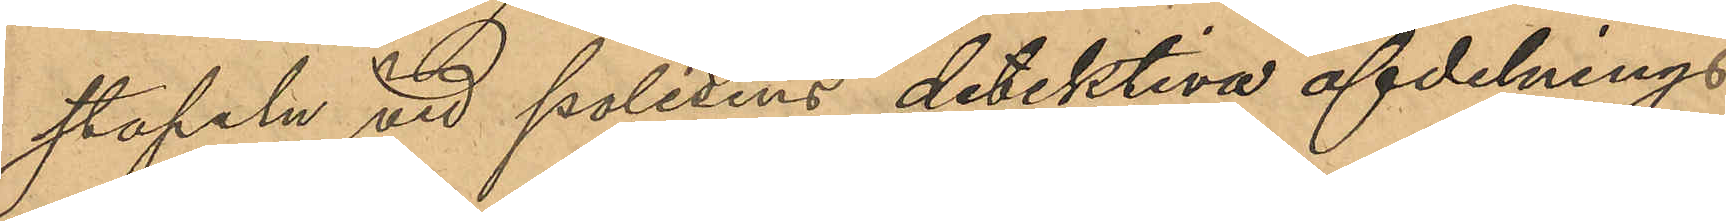stapeln vid polisens detektiva afdelnings
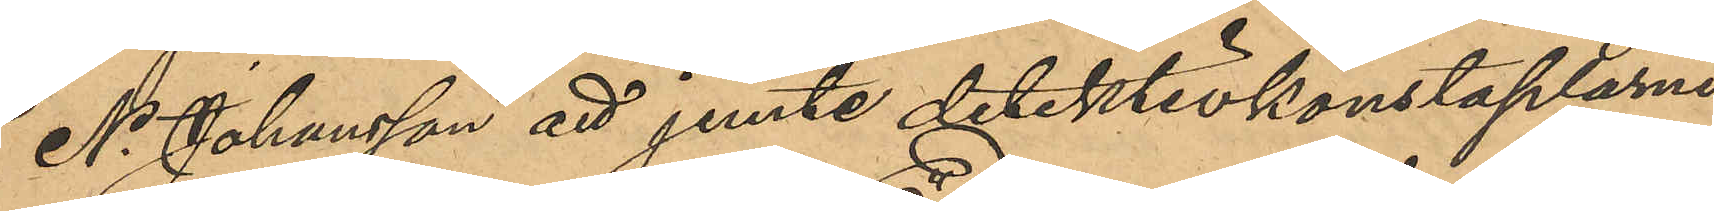N. Johansson att jemte detektivkonstaplarne
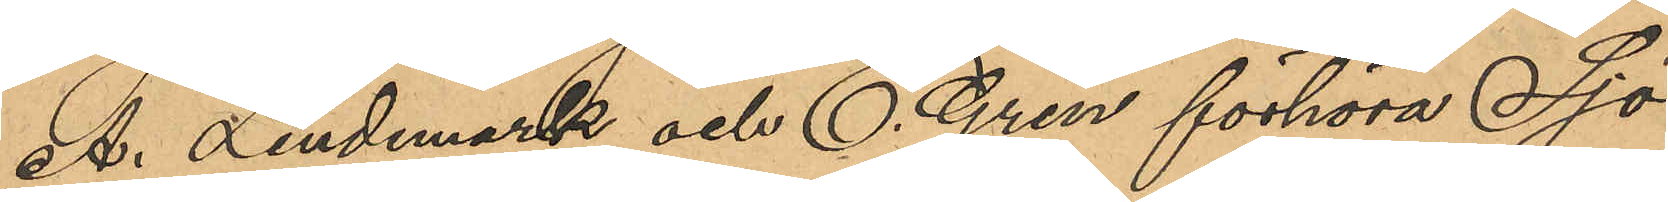A. Lindmark och E. Gren förhöra Sjö¬
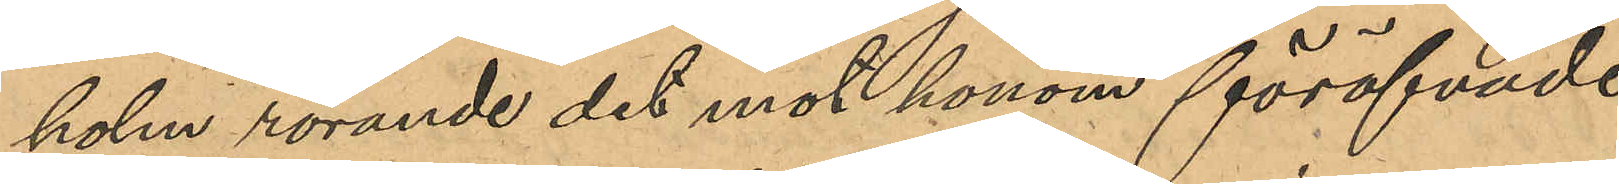holm rörande det mot honom föröfvade
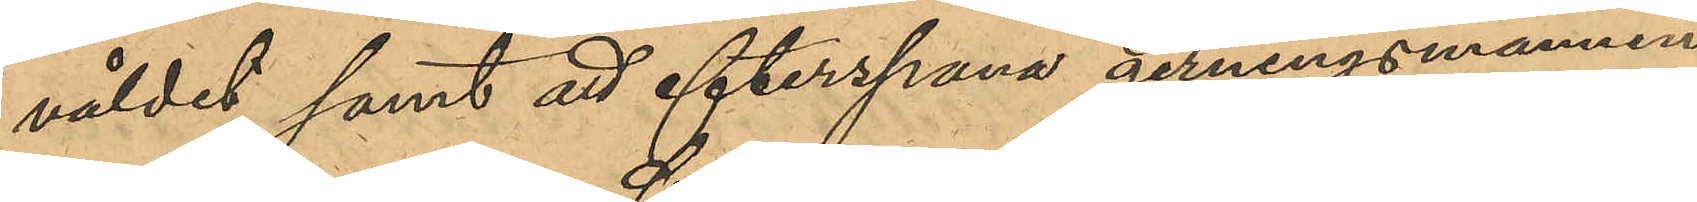våldet samt att efterspana gerningsmannen.
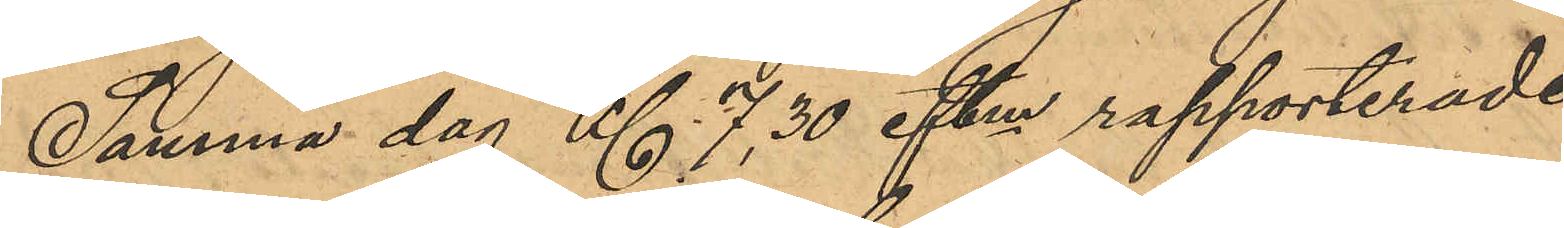Samma dag Kl 7,30 eftm rapporterade
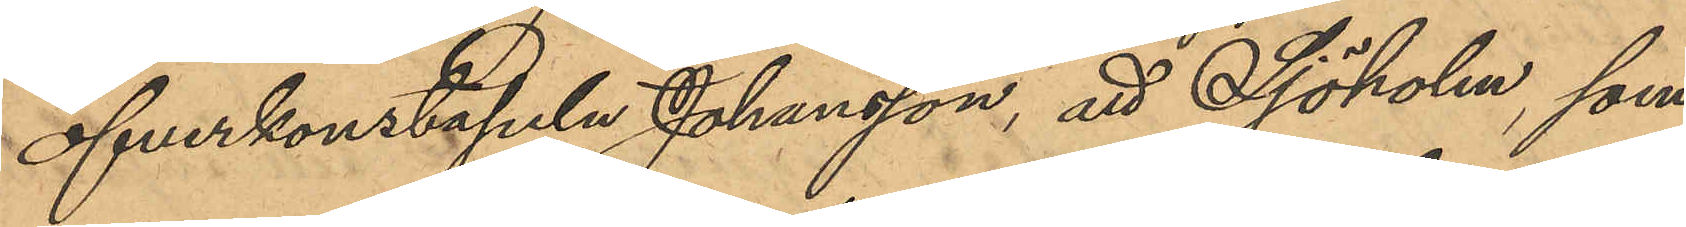öfverkontapeln Johansson, att Sjöholm, som
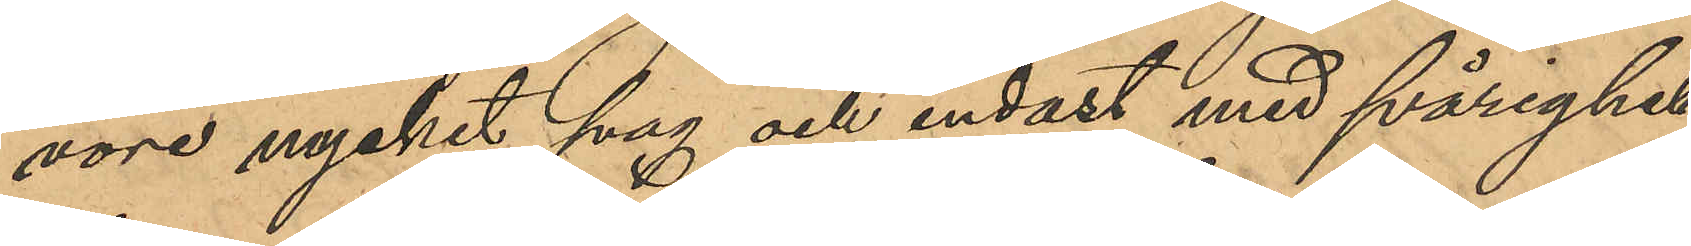vore mycket svag och endast med svårighet
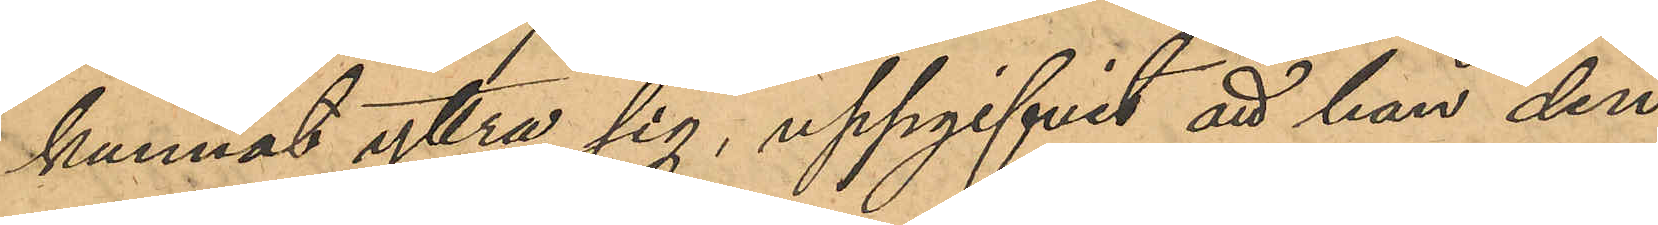kunnat yttra sig, uppgifivt att han den
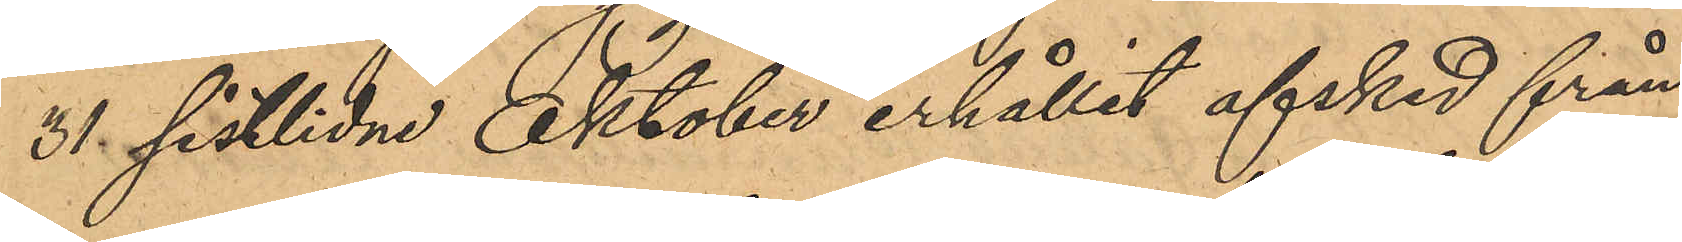31 sistlidne Oktober erhållit afsked från
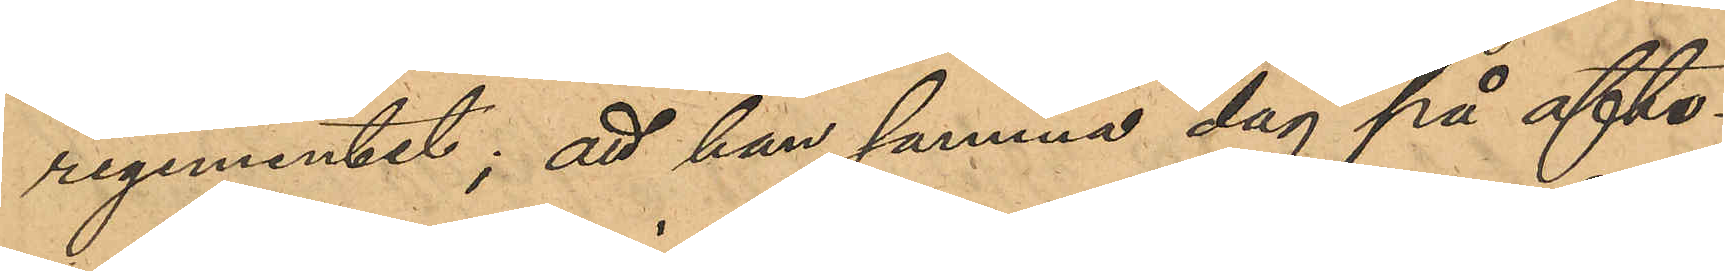regementet; att han samma dag på afto¬
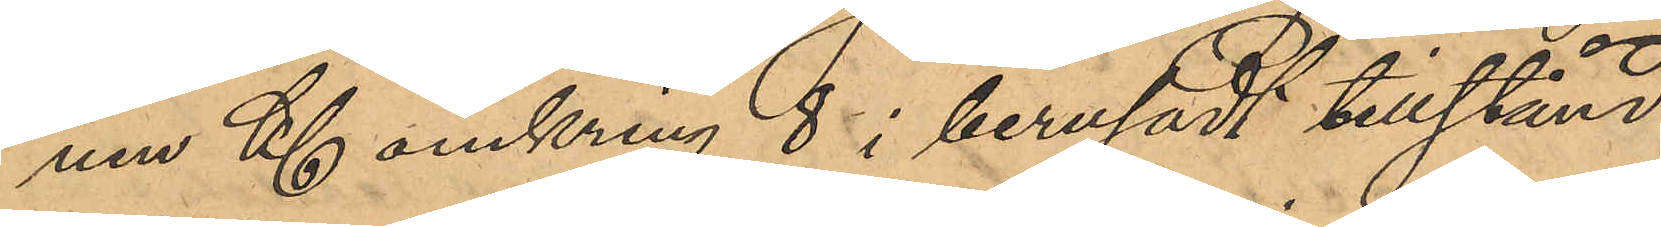nen Kl omkring 8 i berusadt tillstånd
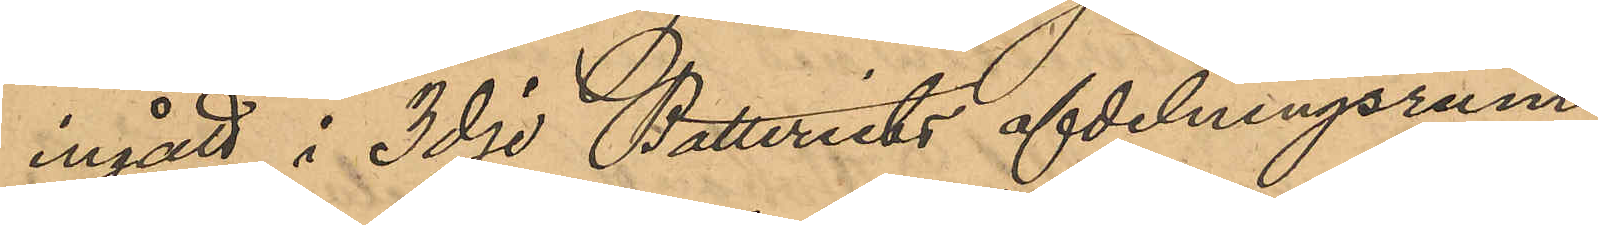ingått i 3dje Batteriets afdelningsrum
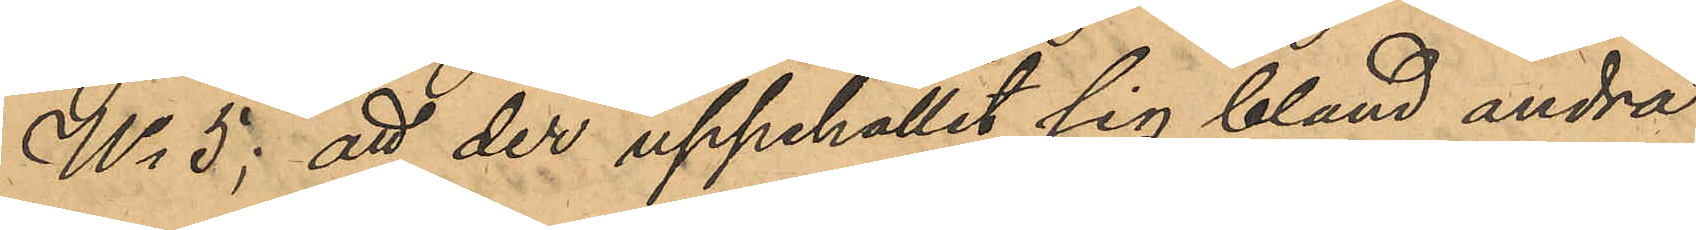No 5; att der uppehållit sig bland andra
